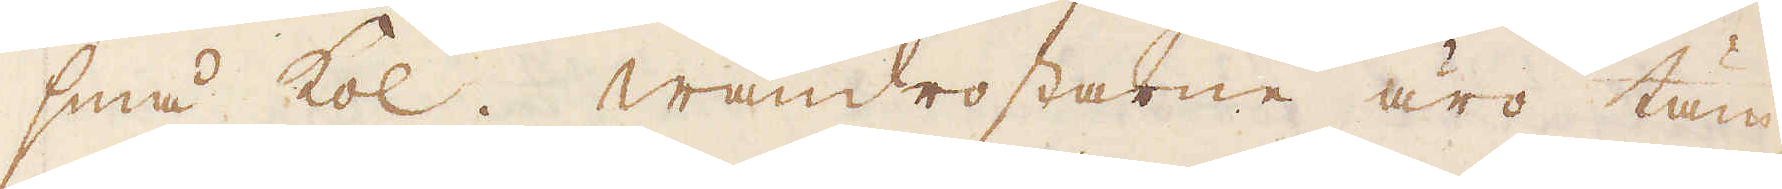små kol. Wändrostarne äro täm-
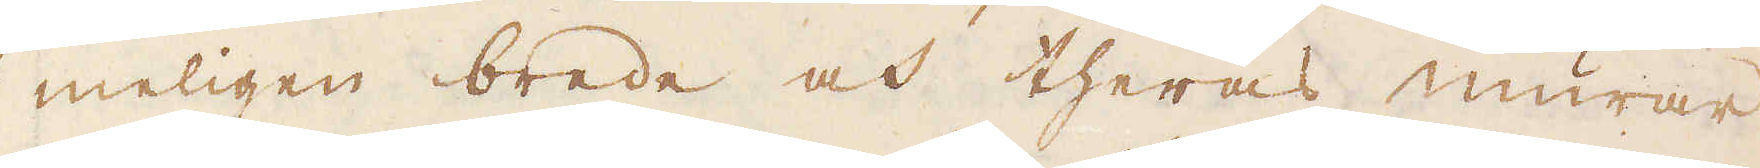meligen brede och theras murar
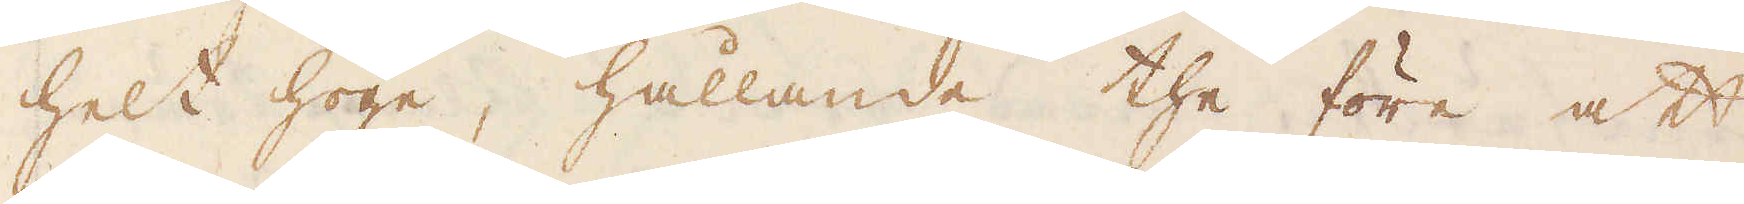helt höge, hållande the före att
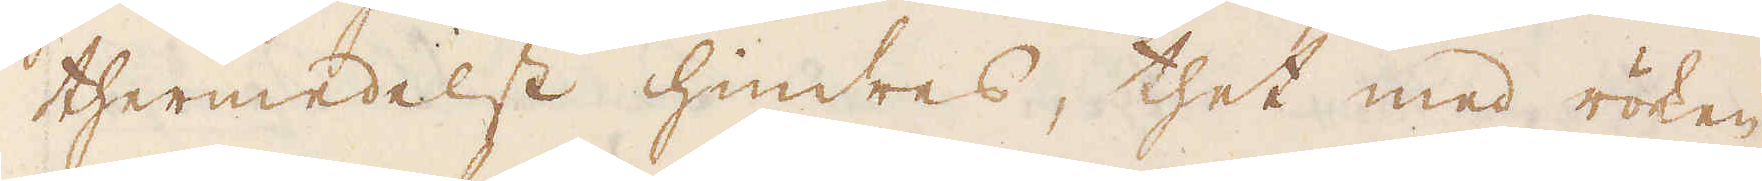thermedelst hindres, thet med röken
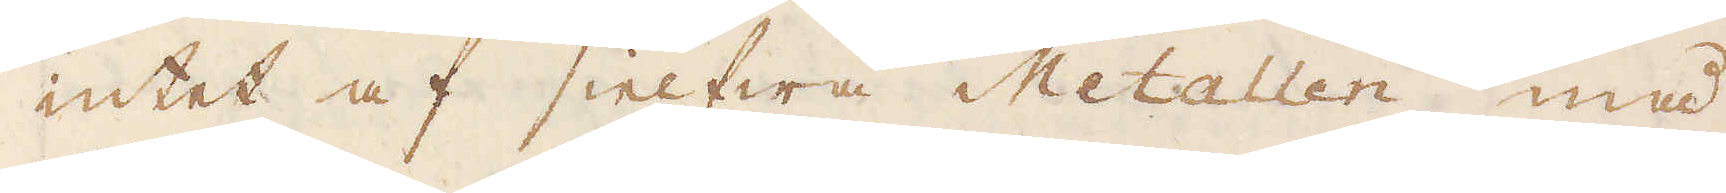intet af sielfwa Metallen må
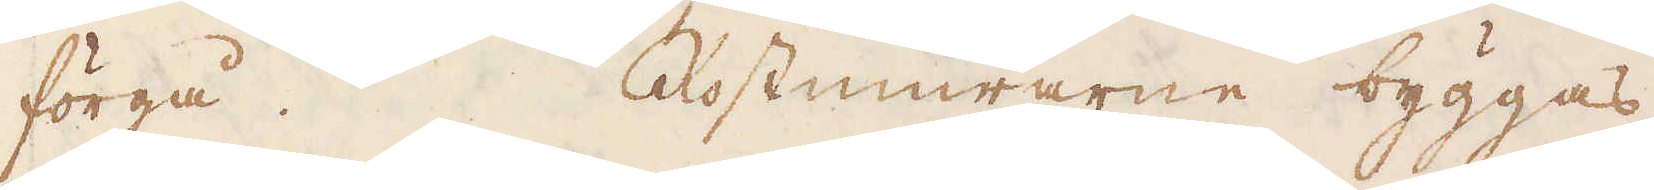förgå. Rostmurarne byggas
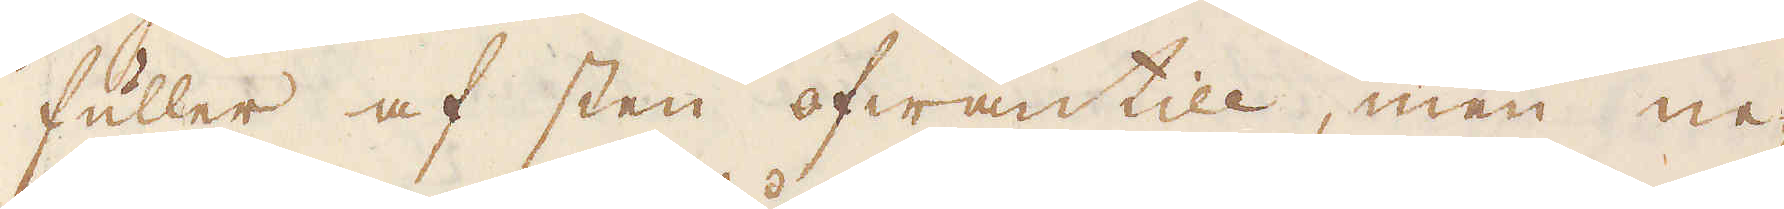fuller af sten ofwantill, men ne-
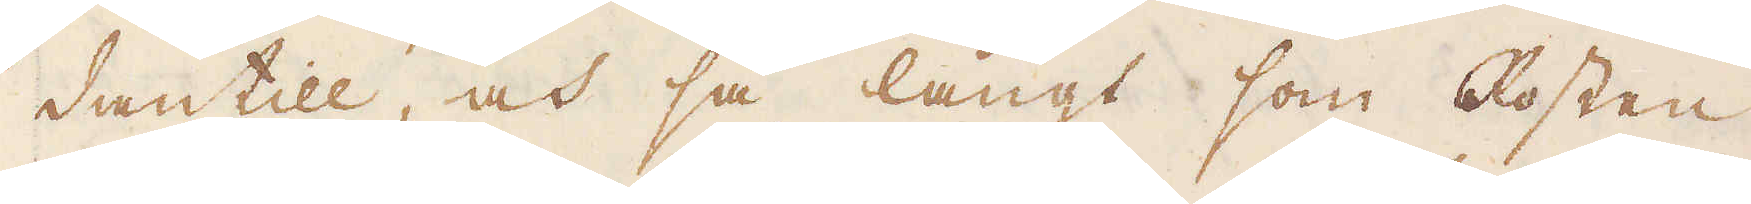dantill, at så långt som Rosten
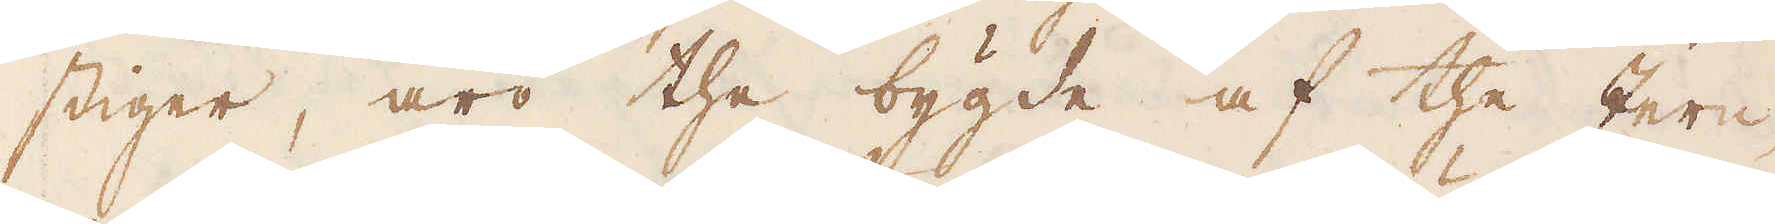stiger, äro the bygde af the Jern-
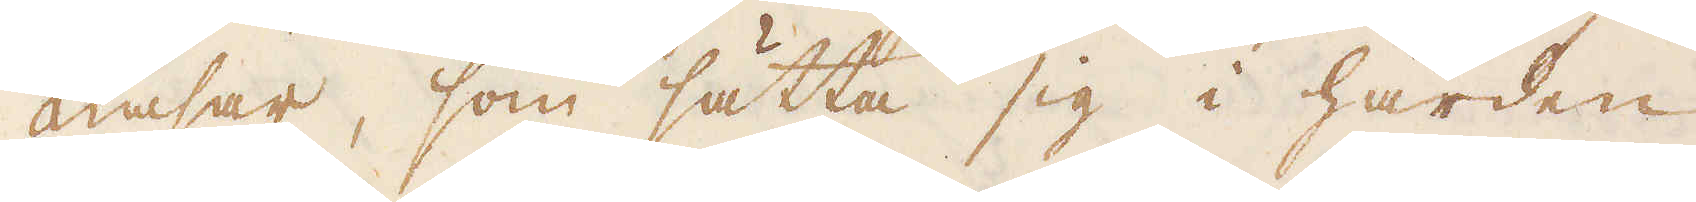nasar, som sätta sig i härden
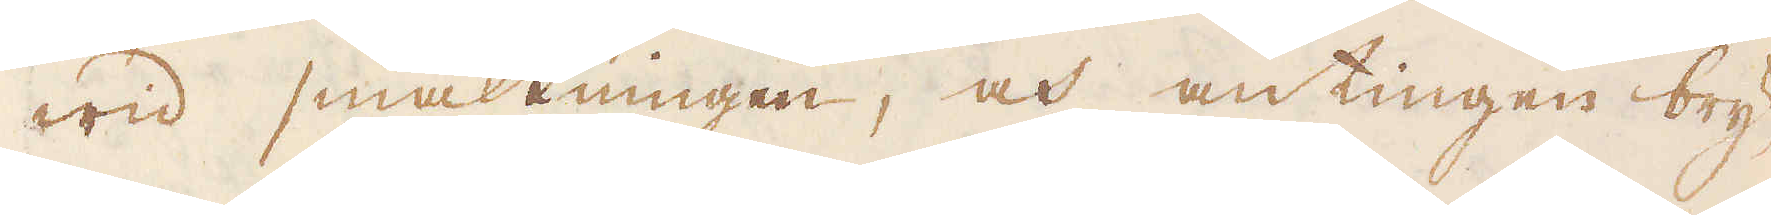wid smältningen, och antingen bry-
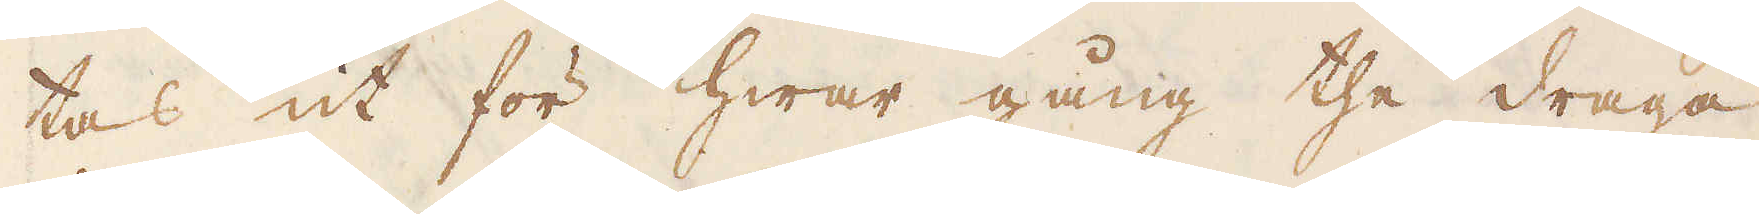tas ut för hwar gång the draga
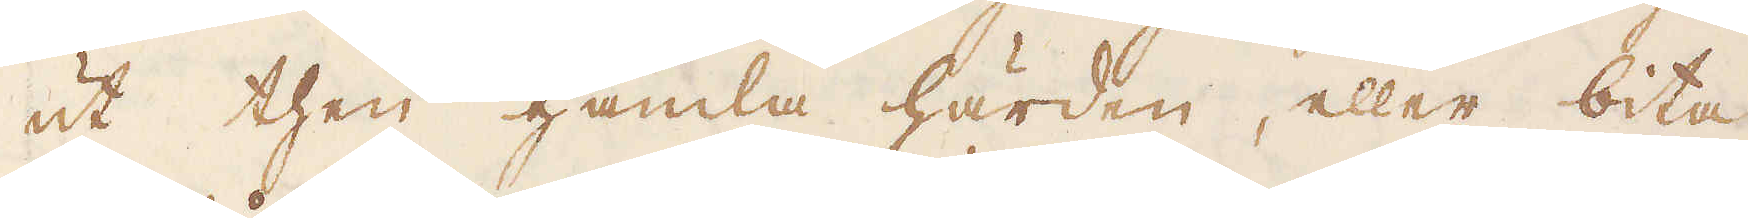ut then gamla härden, eller bita
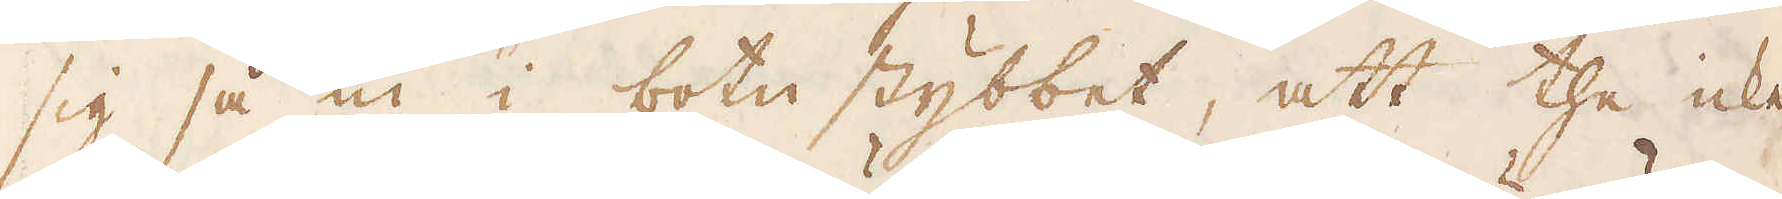sig så in i botn stybbet, att the icke
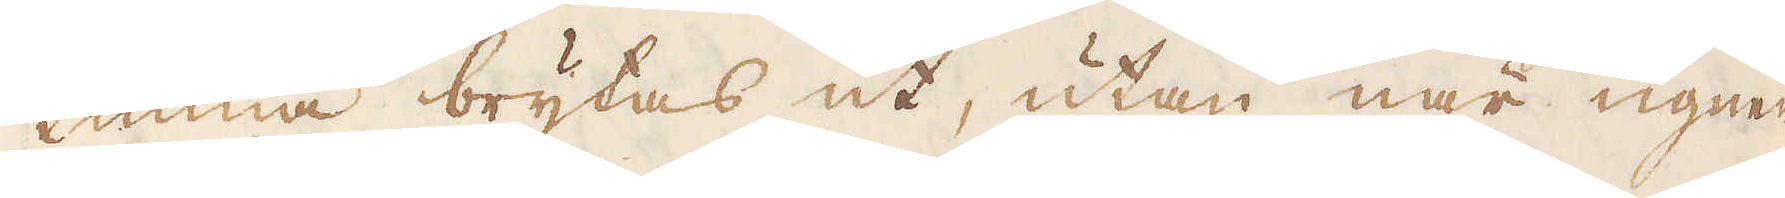kunna brytas ut, utan när ugnen
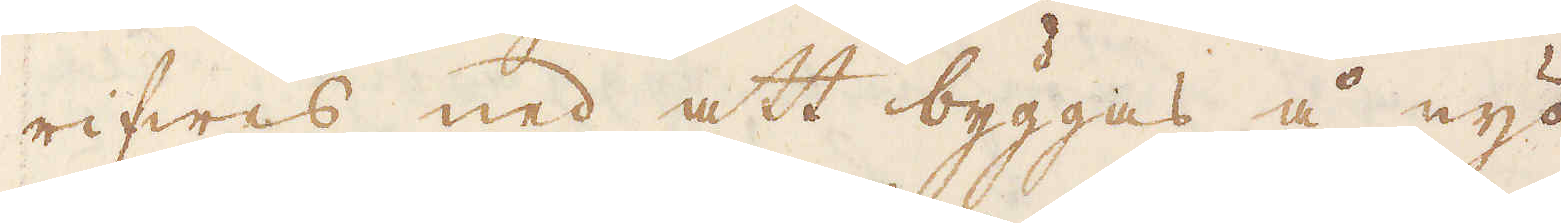rifwes ned att byggas å nyo.
